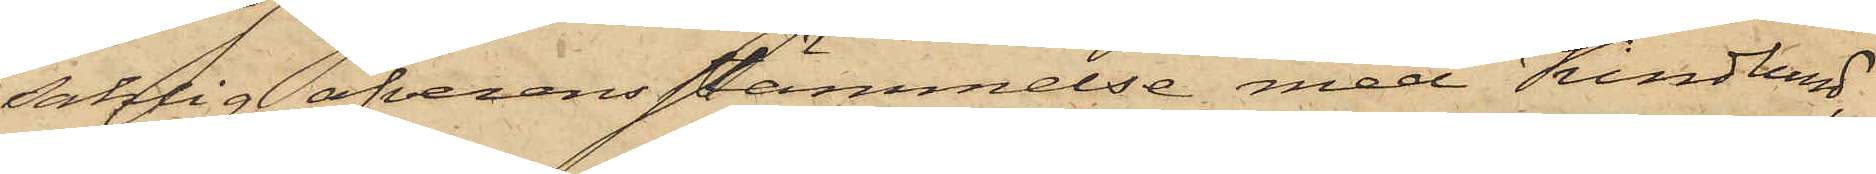saklig öfverensstämmelse med Kindlund,
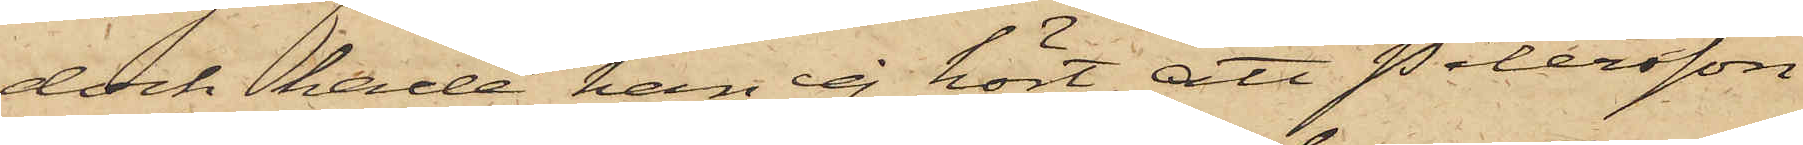dock hade han ej hört, att Petersson
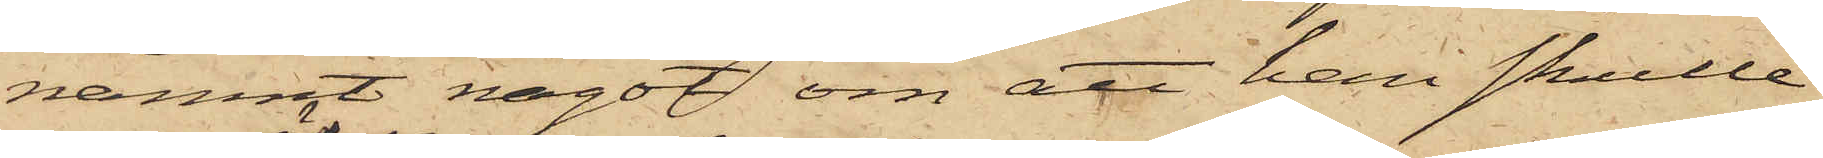nämnt något om att han skulle
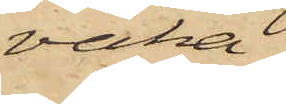vaka
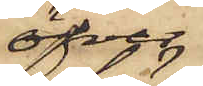öfver
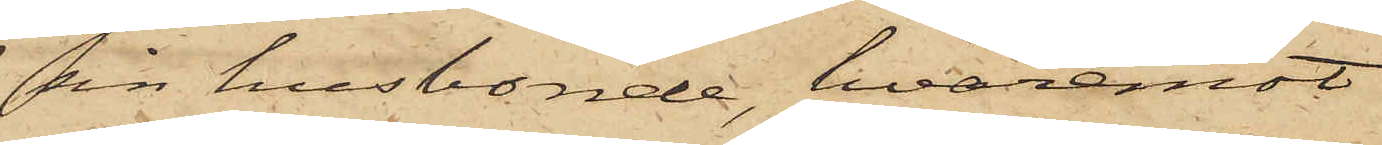sin husbonde, hvaremot
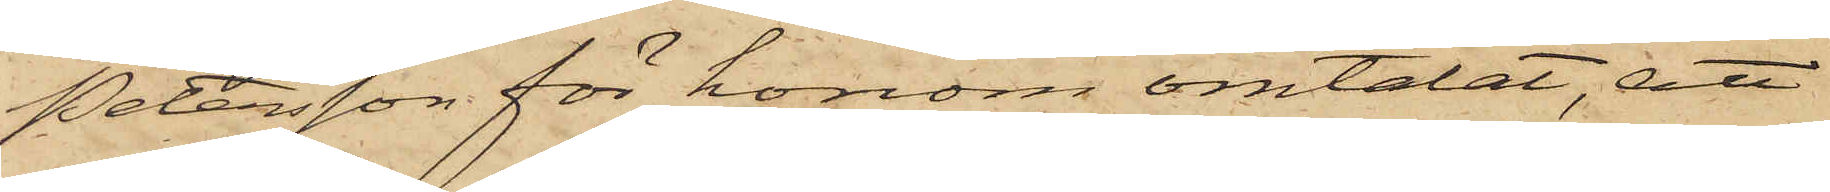Petersson för honom omtalat, att
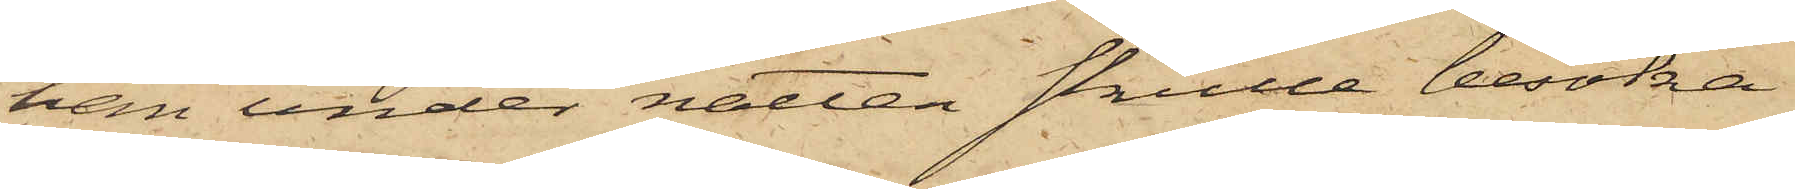han under natten skulle besöka
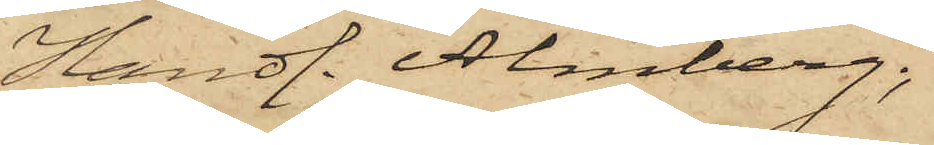Handl. Almberg;
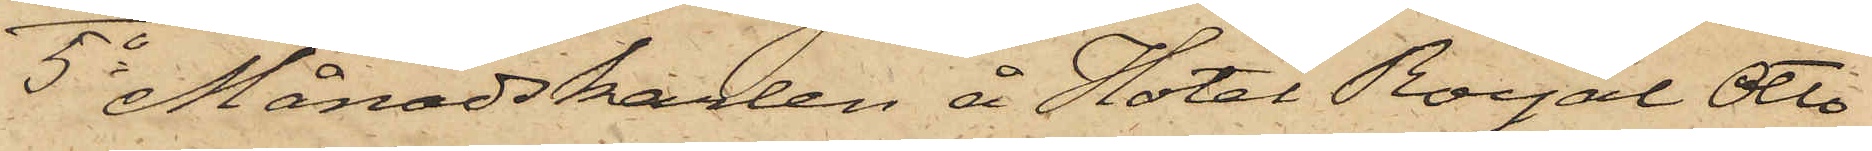5o Månadskarlen å Hotel Royal Otto
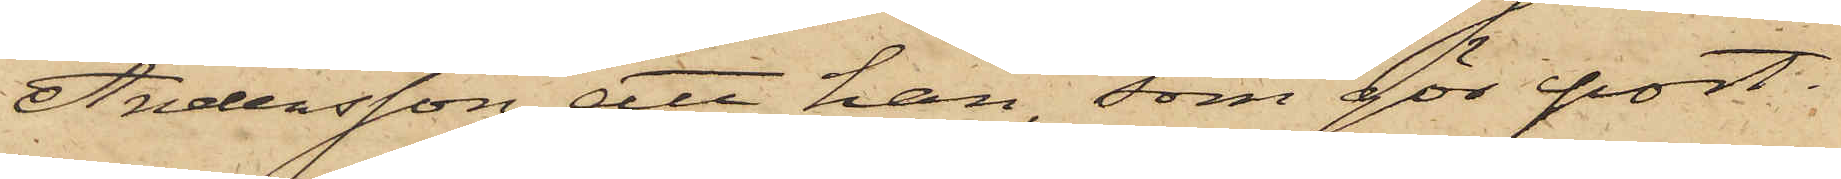Andersson, att han, som gör port¬
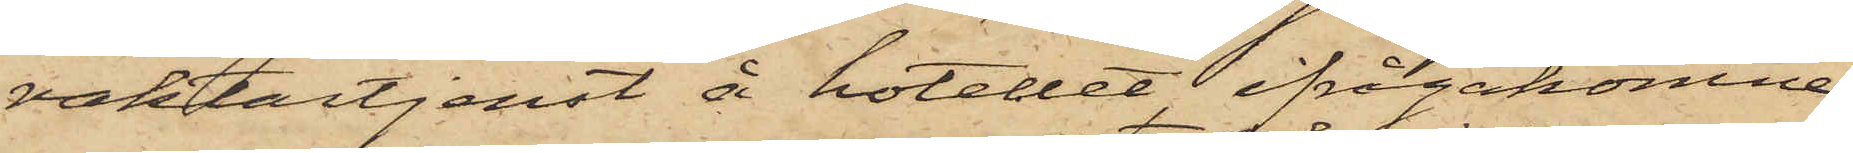vaktartjenst å hotellet, ifrågakomne
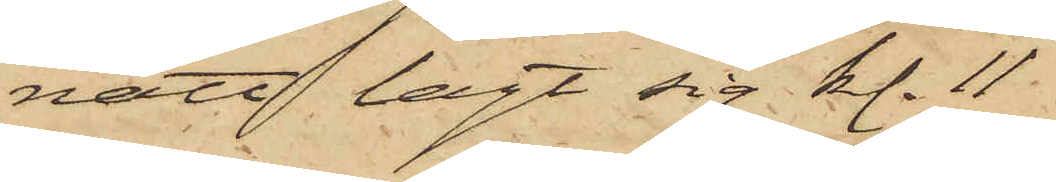natt lagt sig kl. 11.
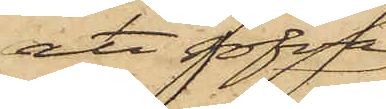att sofva
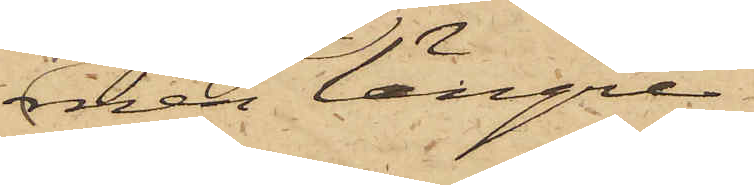men längre
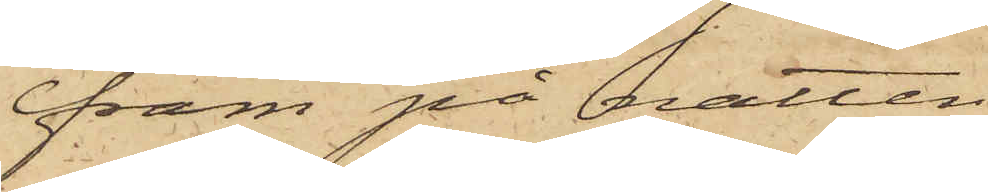fram på natten
